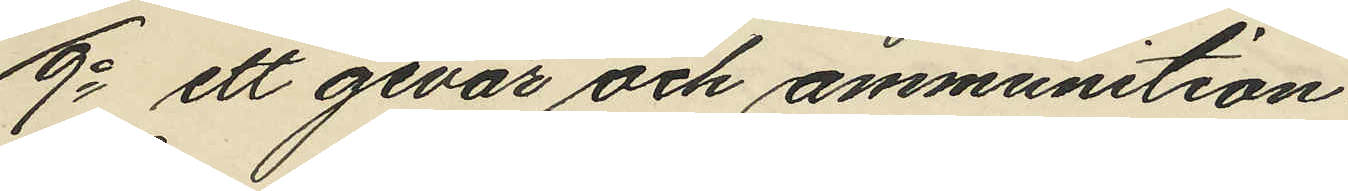9o ett gevär och ammunition
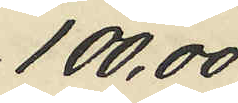100,00
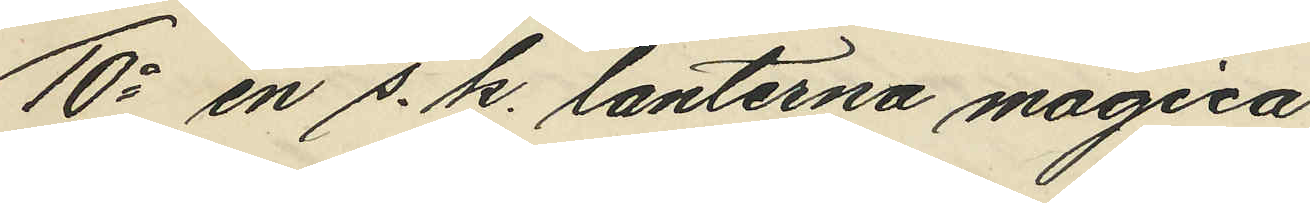10o en s. k. lanterna magica
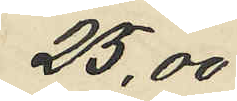25,00
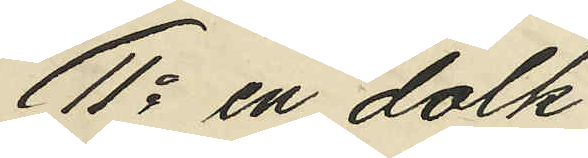11o en dolk
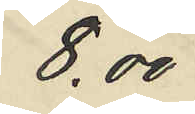8,00
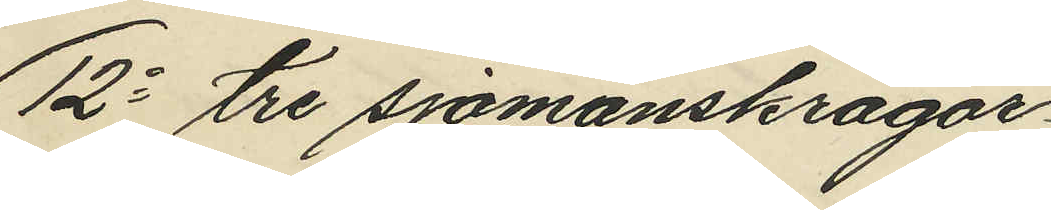12o tre sjömanskragar
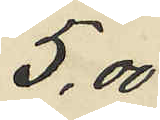5,00
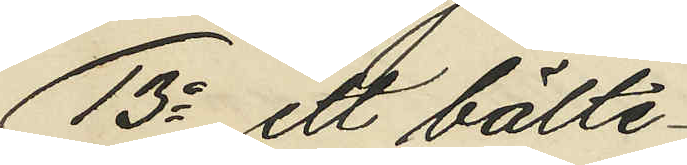13o ett bälte
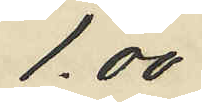1.00
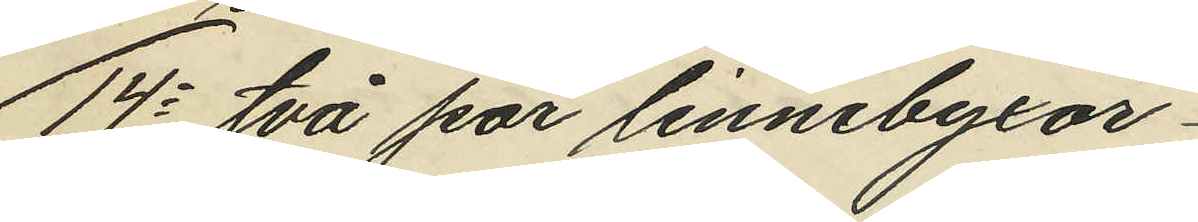14o två par linnebyxor
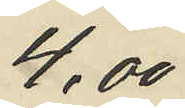4,00
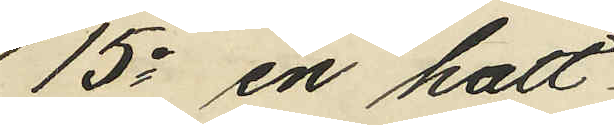15o en hatt
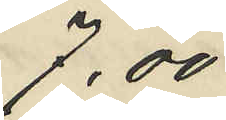7,.00
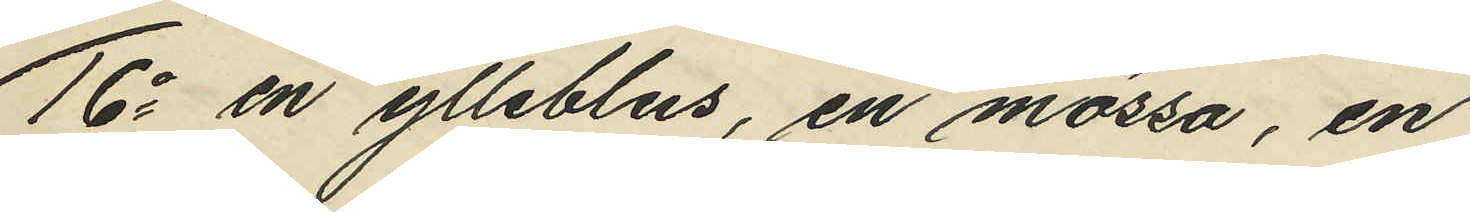16o en ylleblus, en mössa, en
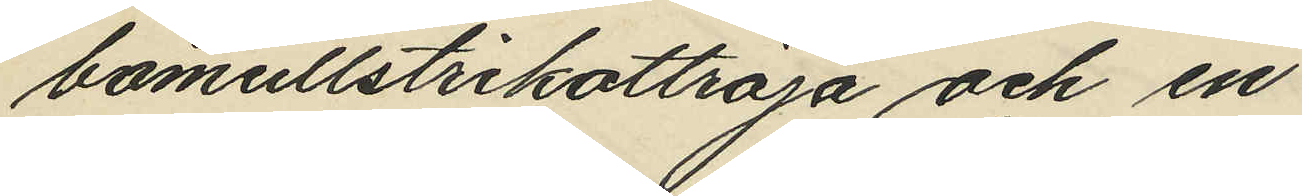bomullstrikottröja och en
